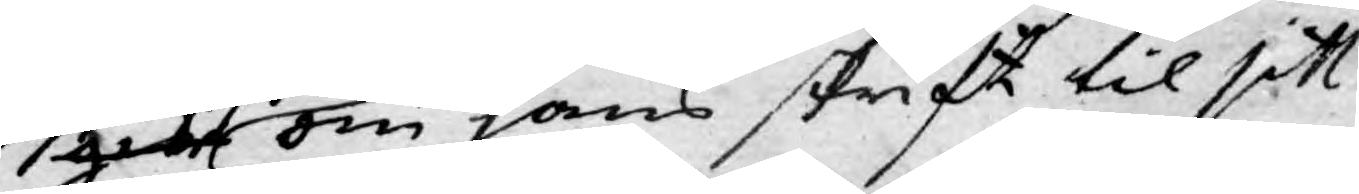git om hans skrift til sitt
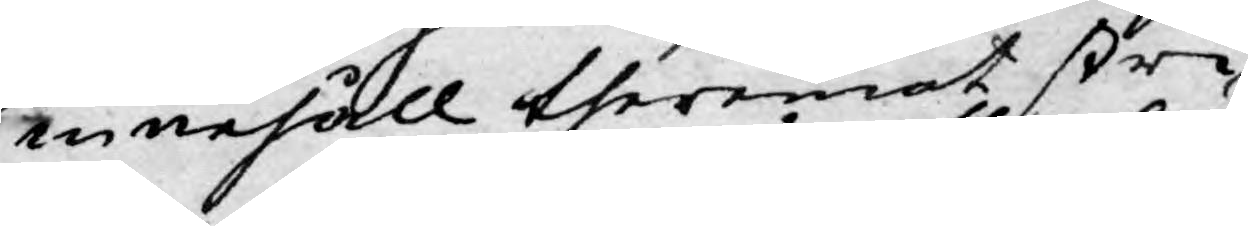innehåll theremot stri¬
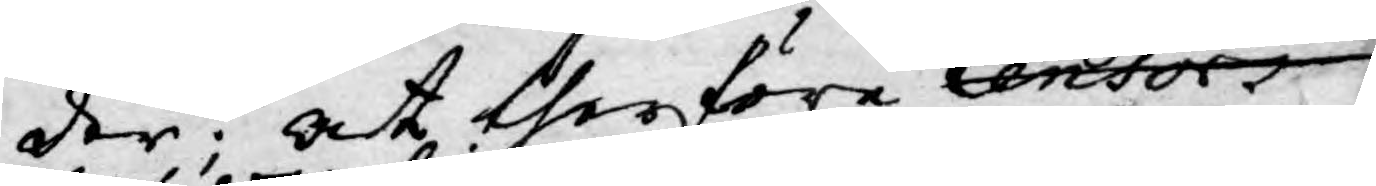der; at therföre Censor
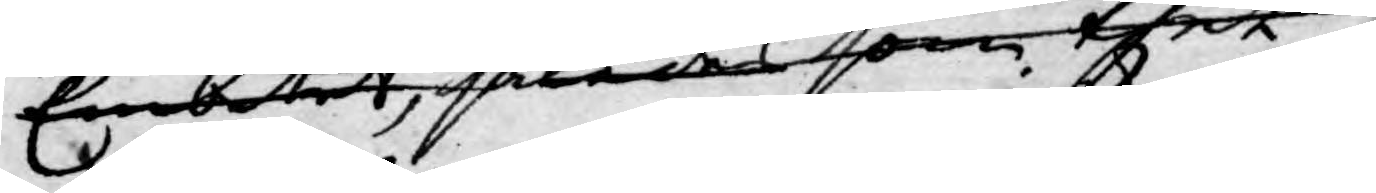Embetet, således som thet
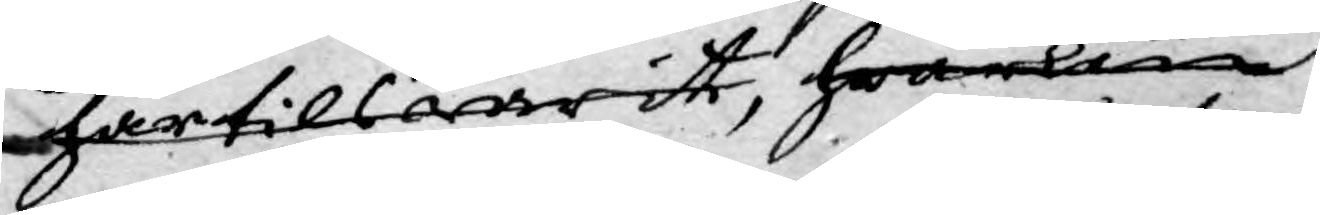härtilswarit, hwarken
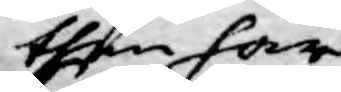then har
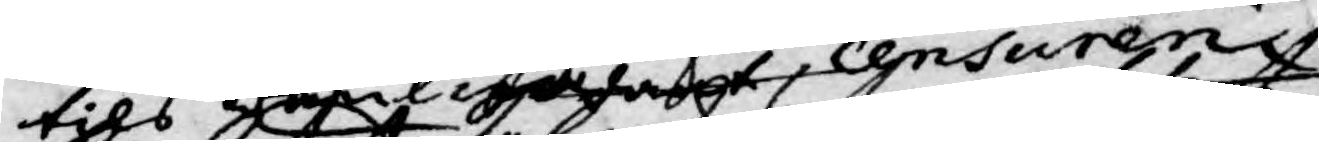tils wanlighat Censuren
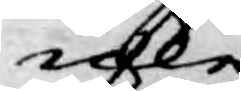icke
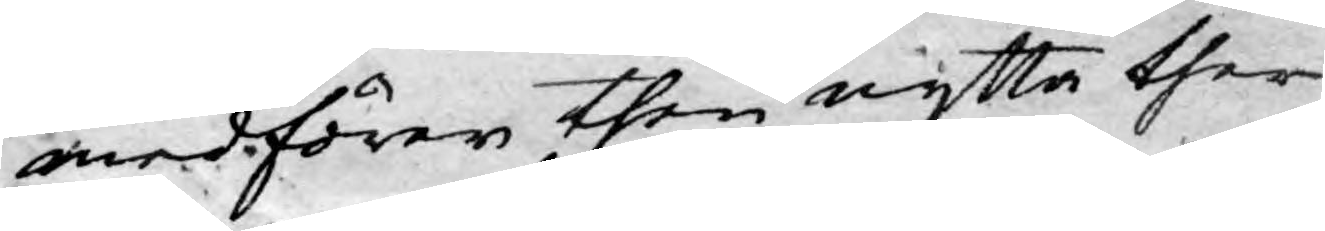medförer then nytta ther
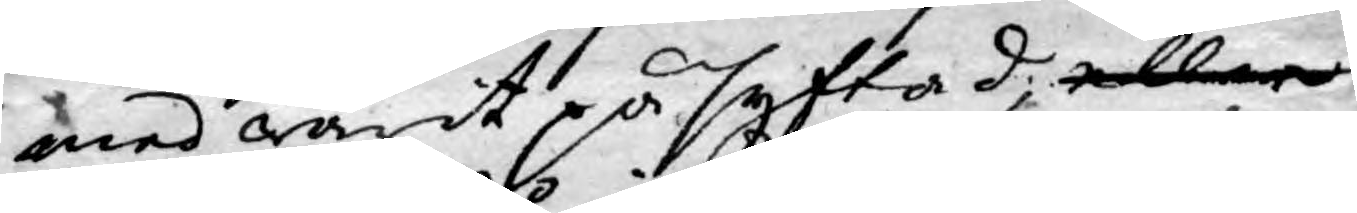med warit påsyftad, eller
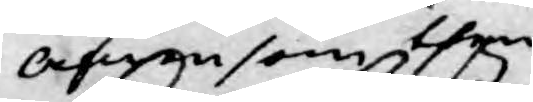äfwensom then
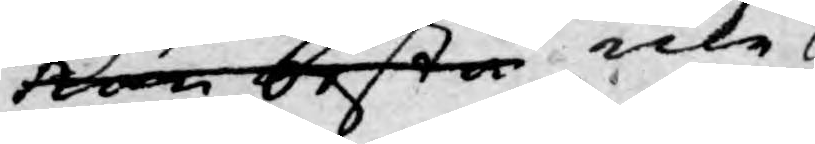kan bestå icke
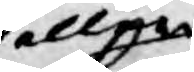allena
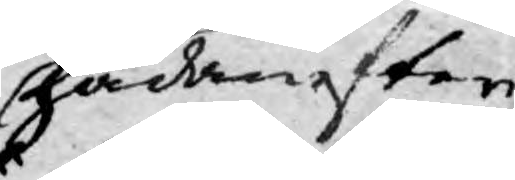hädanefter
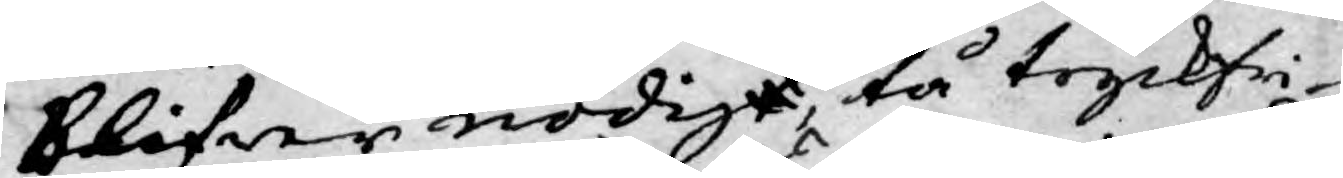blifwer nödigt, tå tryckfri¬
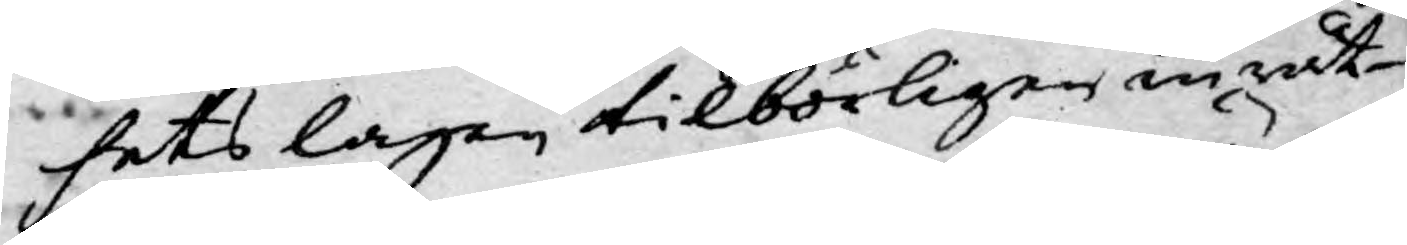hets lagen tilbörligen inrät¬
